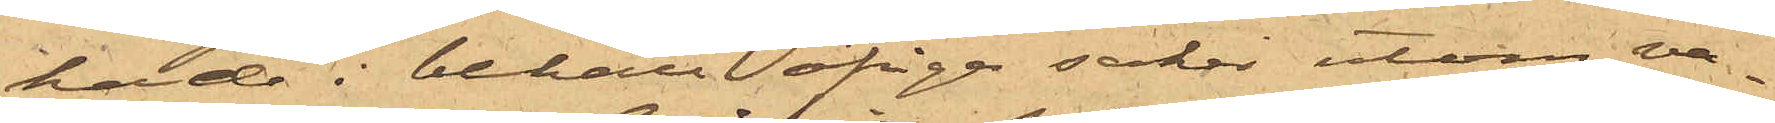hade i behåll öfrige saker utom va¬
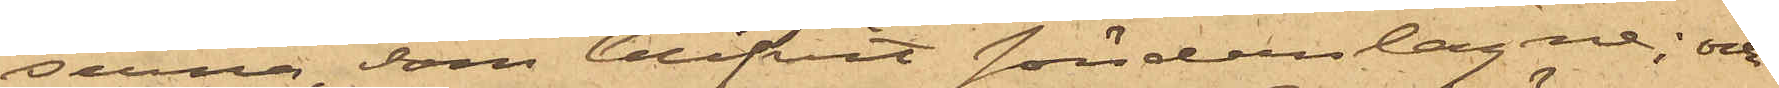serne, som blifvit sönderslagne; och
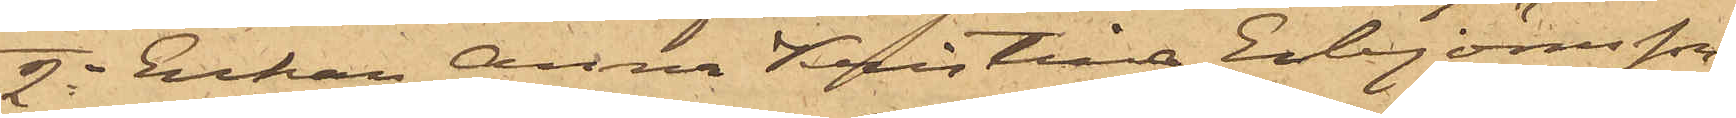2o Enkan Anna Kristina Esbjörnsson,
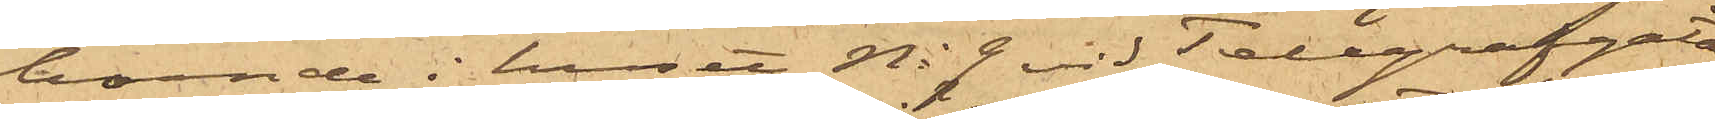boende i huset No 9 vid Telegrafgatan,
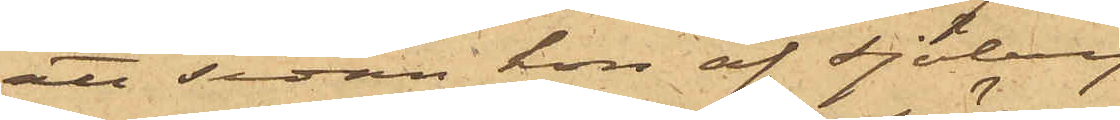att sedan hon af Sjöberg
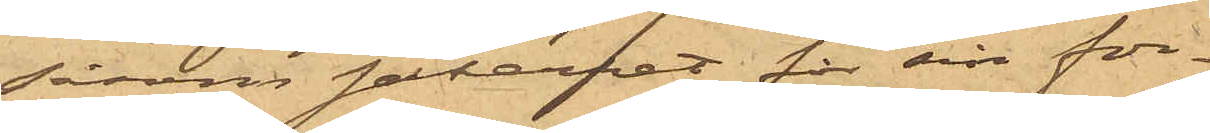såsom säkerhet för sin for¬
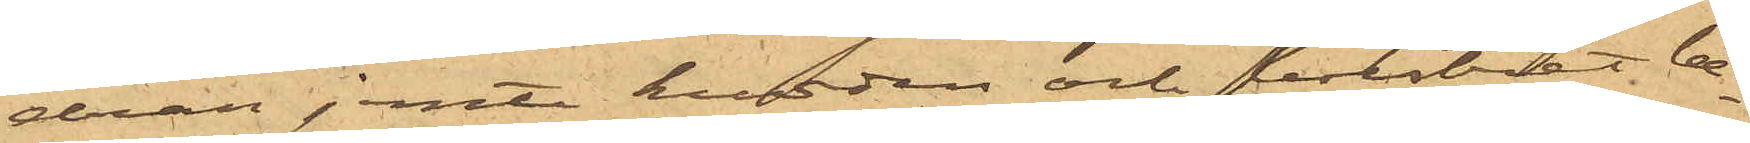dran jemte kudden och bolstret be¬
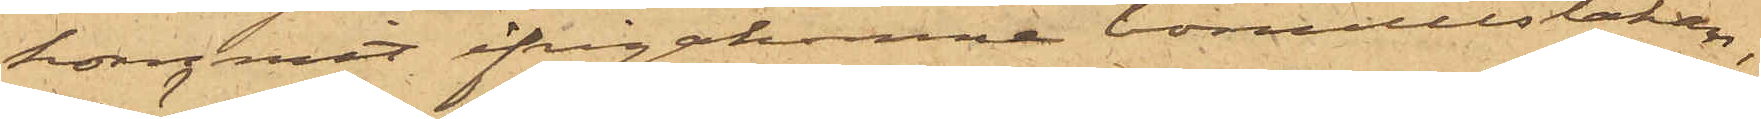kommit ifrågakomne bomullslakan,
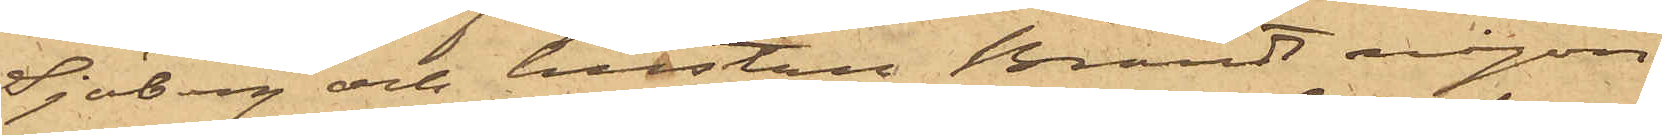Sjöberg och hustru Brandt någon
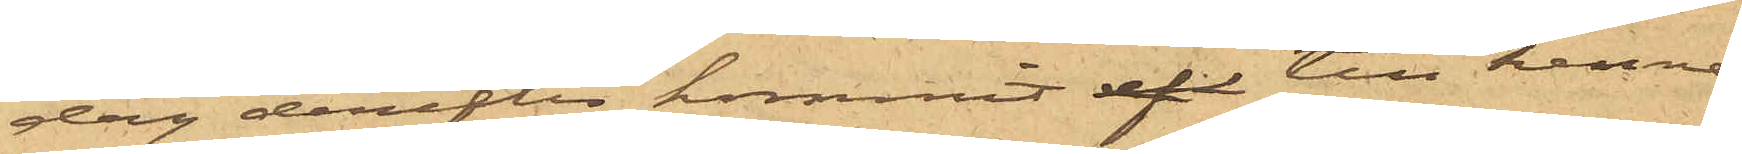dag derefter kommit af till henne
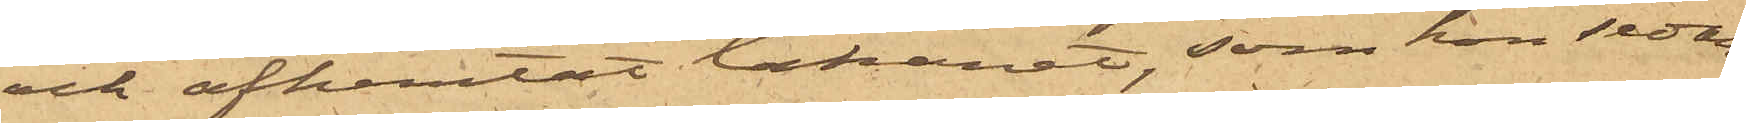och afhemtat lakanet, som hon sedan
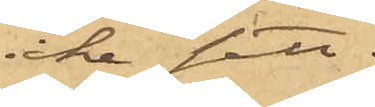icke sett.
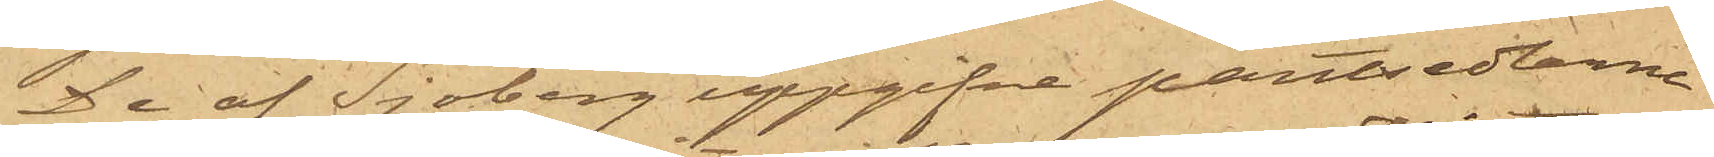De af Sjöberg uppgifne pantsedlarne
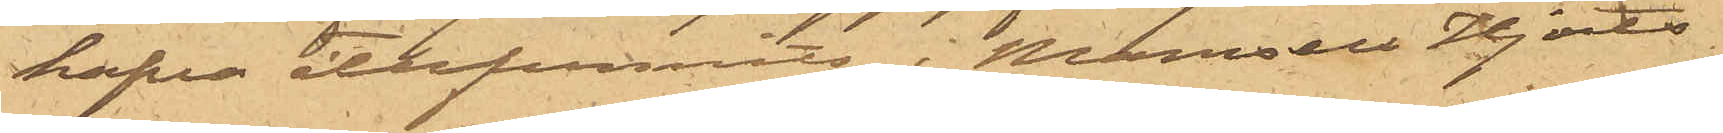hafva återfunnits i Mamsell Hjorts
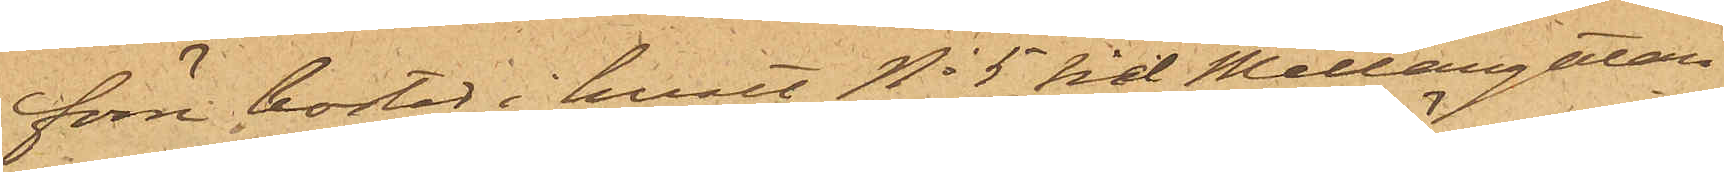förre bostad i huset No 5 vid Mellangatan.
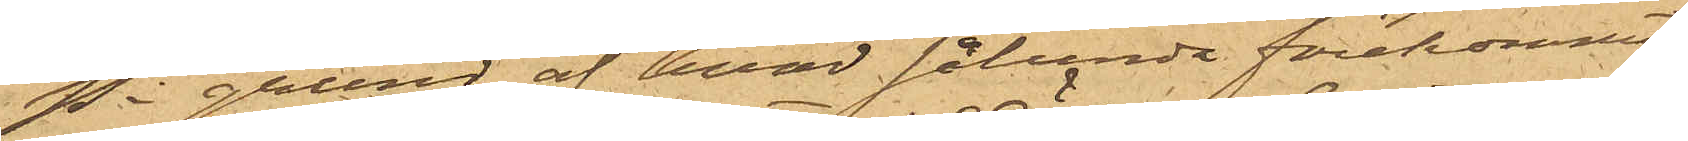På grund af hvad sålunda förekommit
